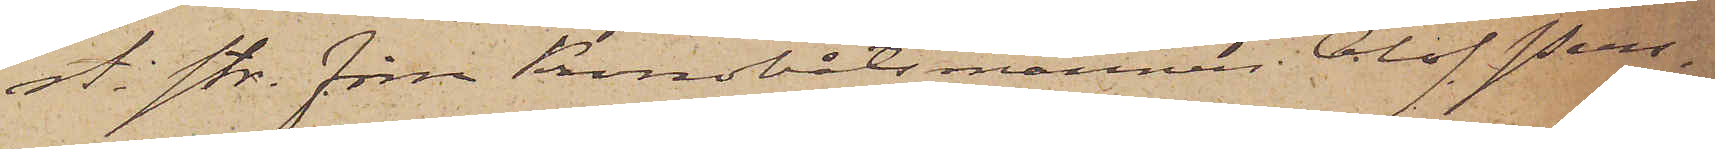st. str. förre Kronobåtsmannen Olof Pers¬
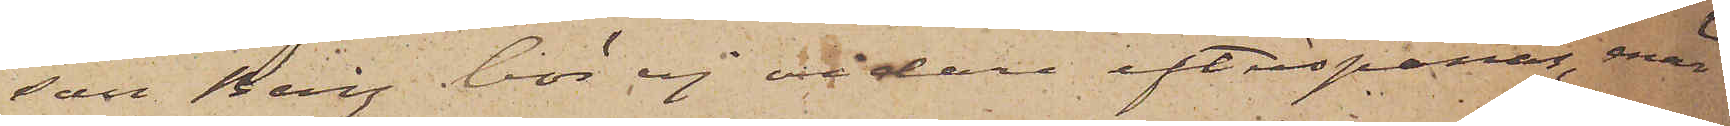son Berg bör ej vidare efterspanas, enär
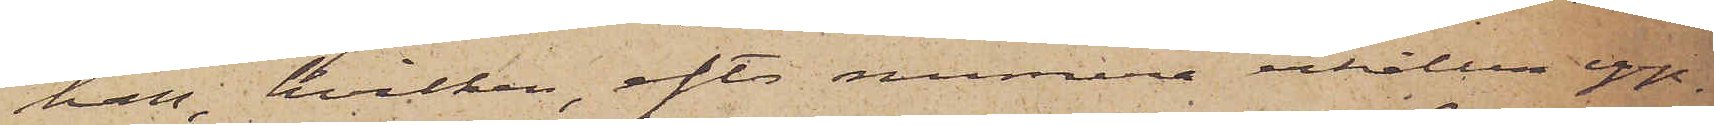han, hvilken, efter numera erhållen upp¬
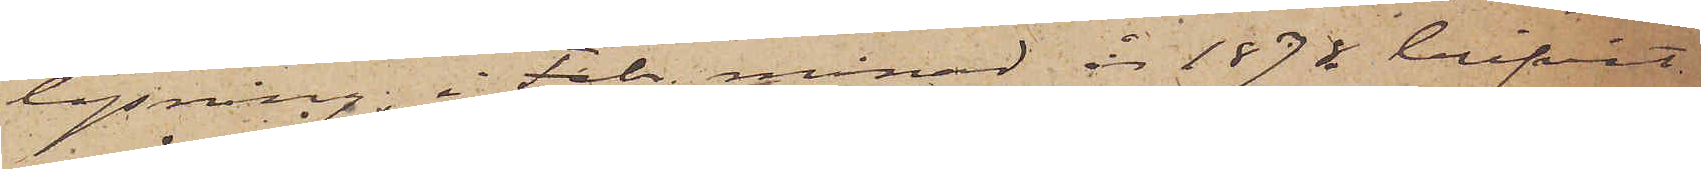lysning, i Febr. månad år 1878 blifvit
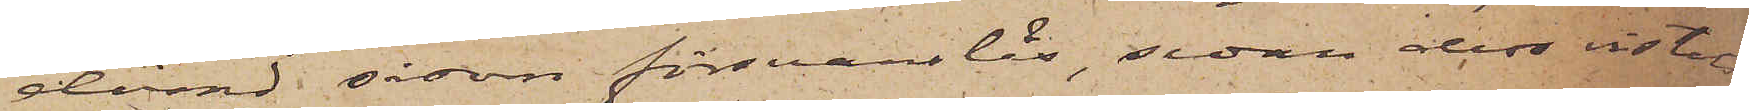dömd såsom försvarslös, sedan dess vistas
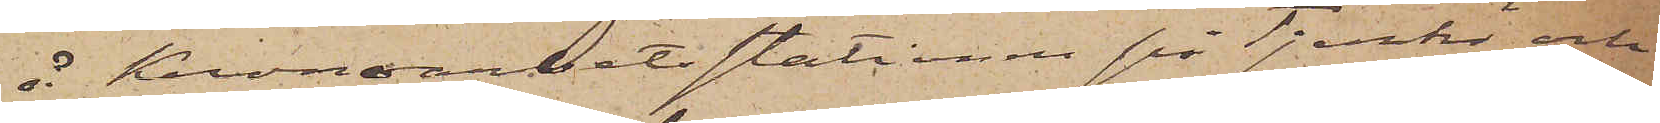å Kronoarbetsstationen på Tjurkö och
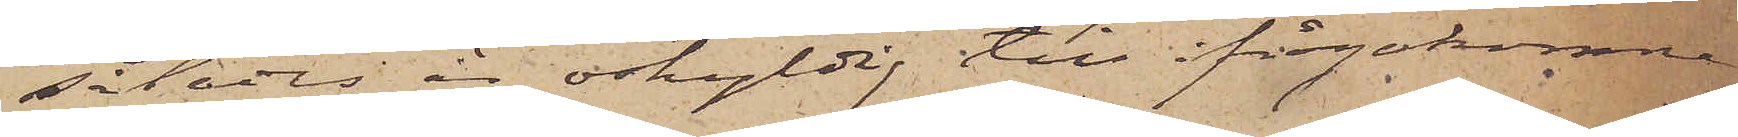således är oskyldig till ifrågakomne
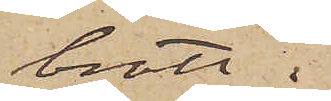brott.
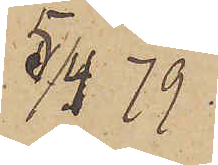5/4 79.
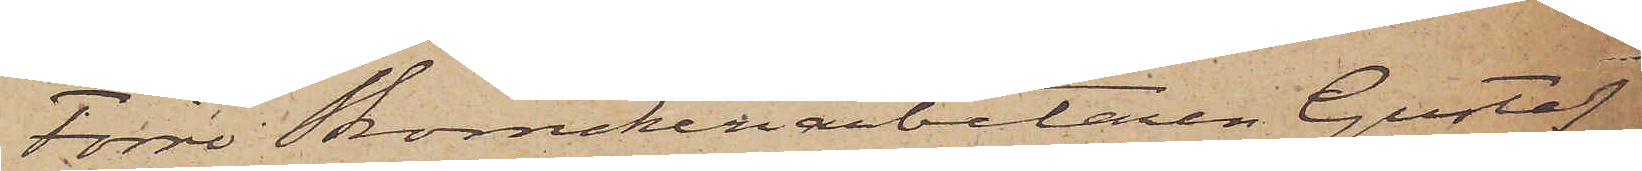Förre Skomakeriarbetaren Gustaf
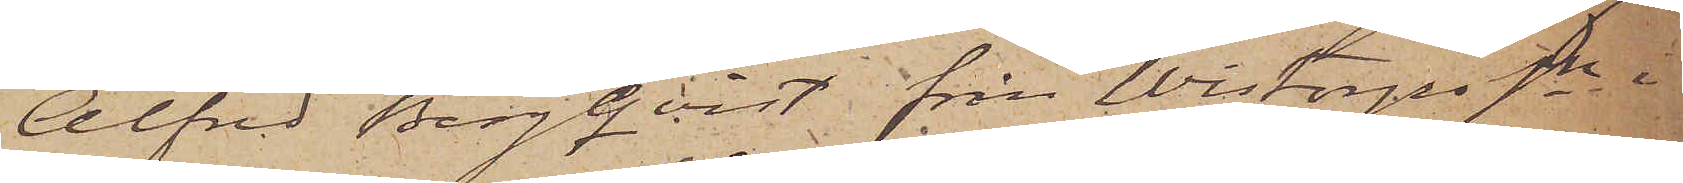Alfred Bergqvist från Wistorps sn i
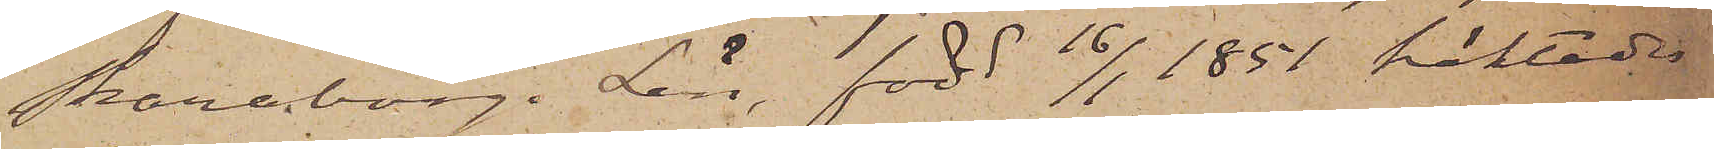Skaraborgs Län, född 16/1 1851 häktades
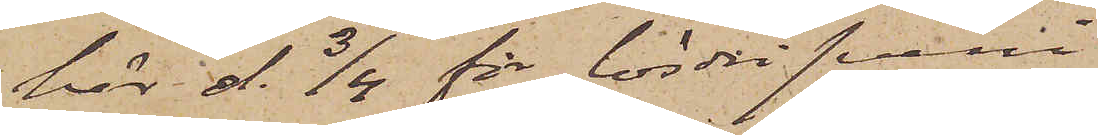här d. 3/4 för lösdrifveri
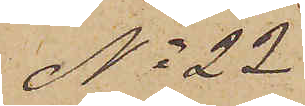No 22
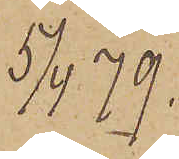5/4 79.
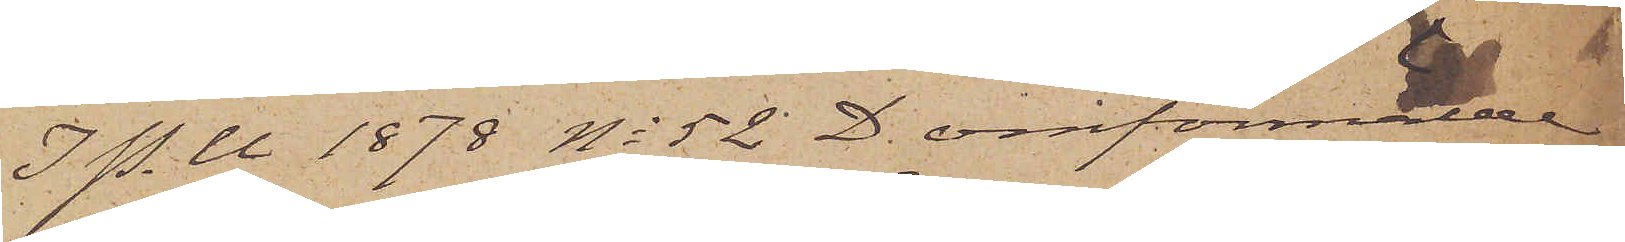I P. U 1878 No 52 D. omförmälde
